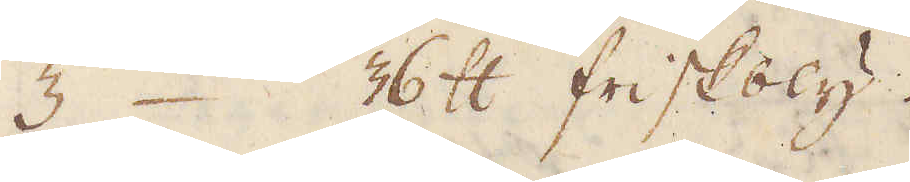3 36 skålpund friskbly.
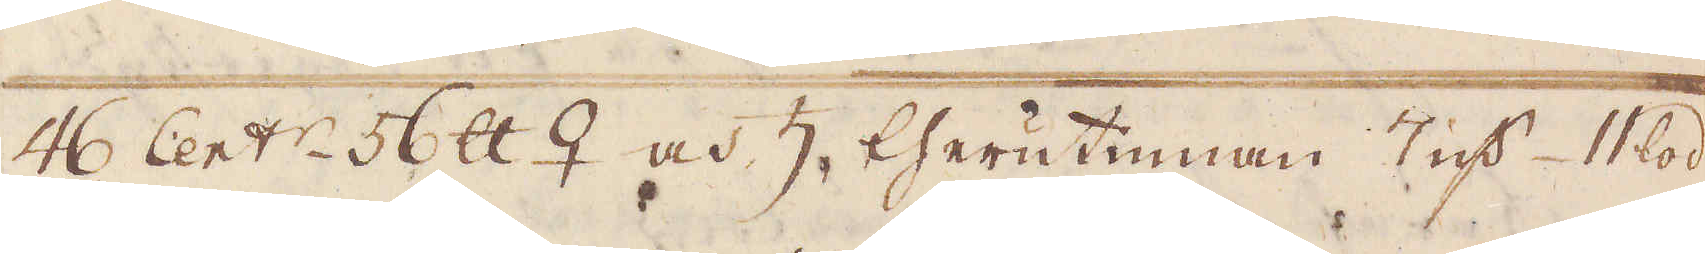46 Cent:r 50 skålpund ♀ och ♄, therutinnan 7 qv:r lod
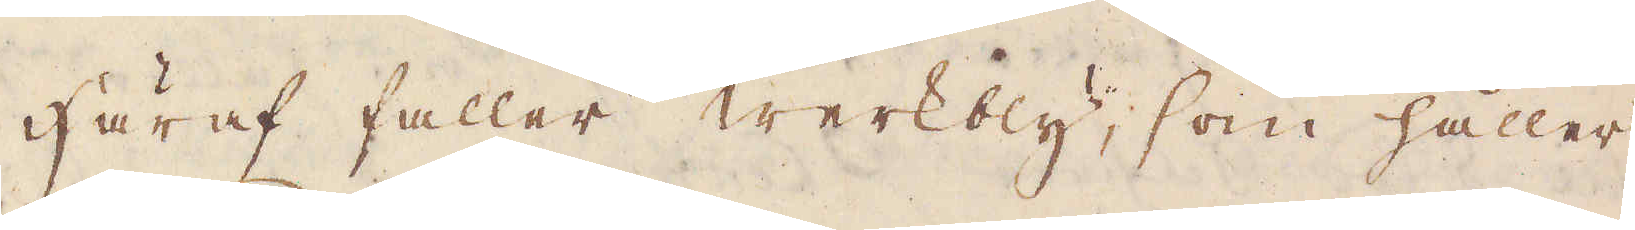Häraf faller werkbly, som håller
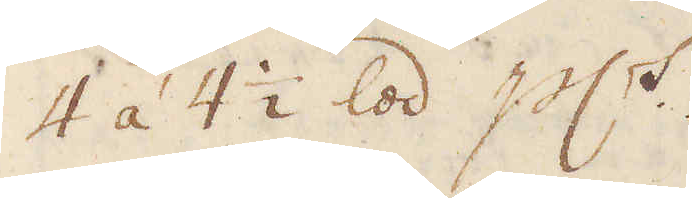4 á 4 1/2 lod p:ct.
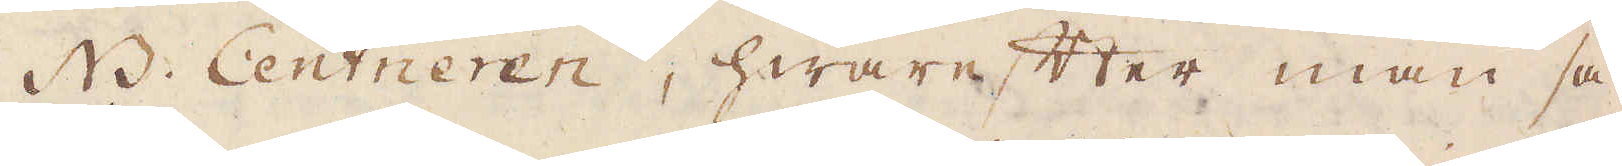NB. Centneren, hwarefter man så
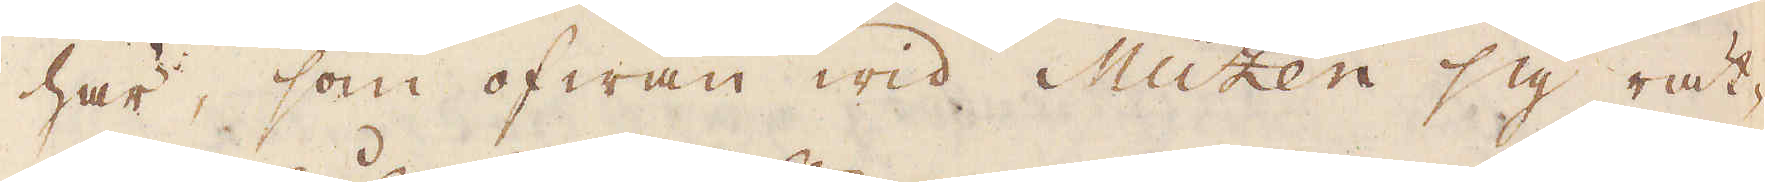här, som ofwan wid Müzen sig rät-
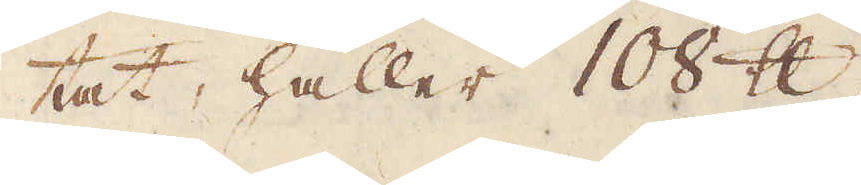tat håller 108 skålpund.
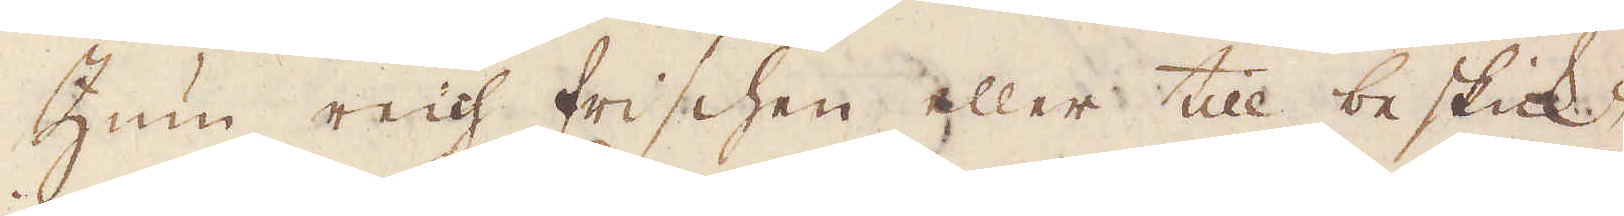Zum reich frischen eller till beskick-
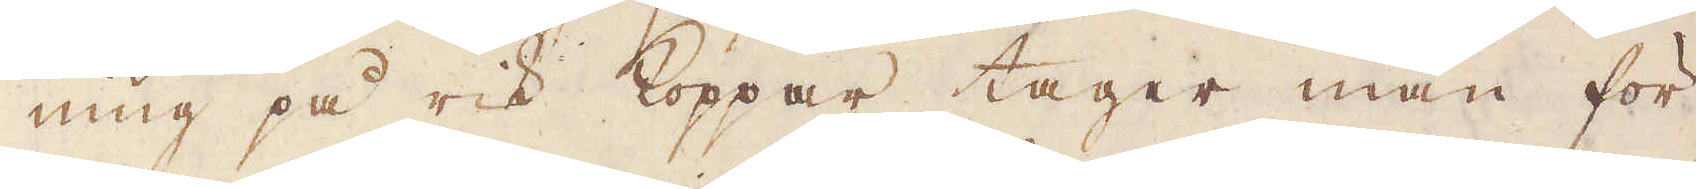ning på rik koppar tager man för
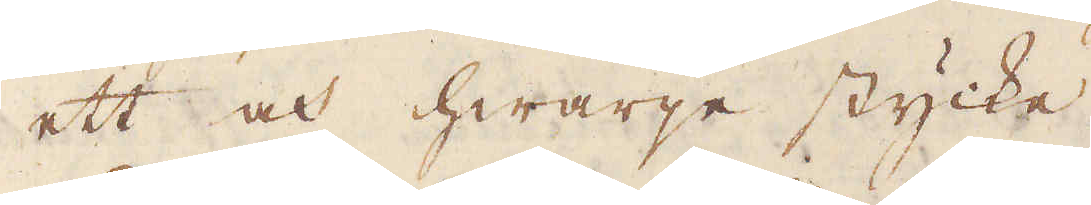ett och hwarje stycke.
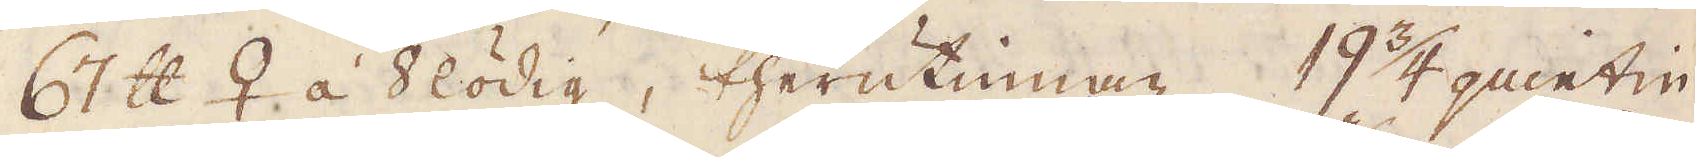67 skålpund ♀ á 8lödig, therutinnan 19 3/4 quintin.
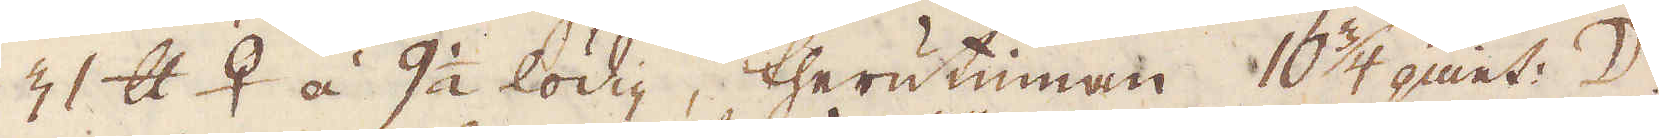31 skålpund ♀ á 9 1/2 lödig, therutinnan 10 3/4 quint: ☽
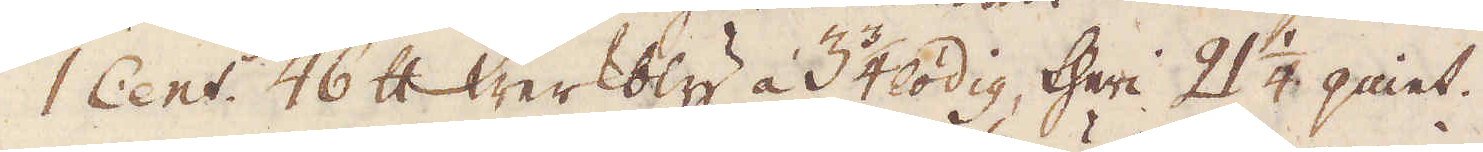1 Cent: 46 skålpund Werkbly á 3 3/4 lodig, theri 21 1/2 quint.
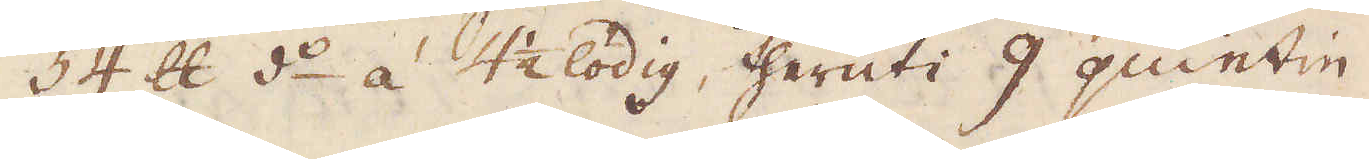54 skålpund d:o á 4 1/2 lödig, theruti 9 quintin.
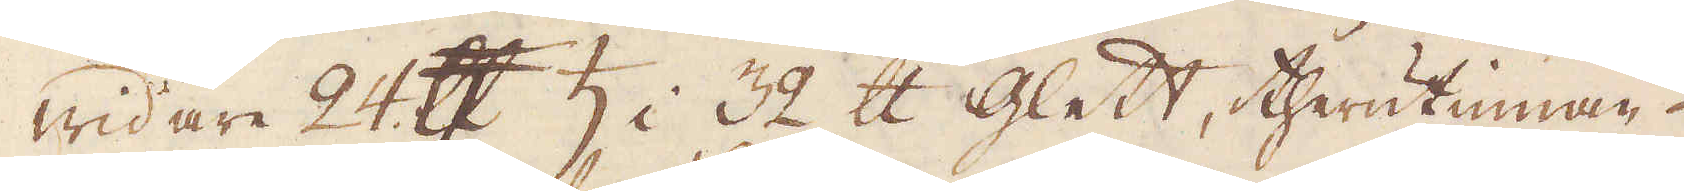Widare 24 skålpund ♄ i 32 skålpund glett, therutinnan.
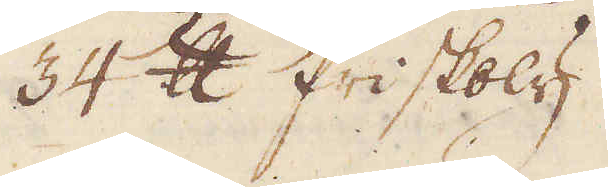34 skålpund friskbly
